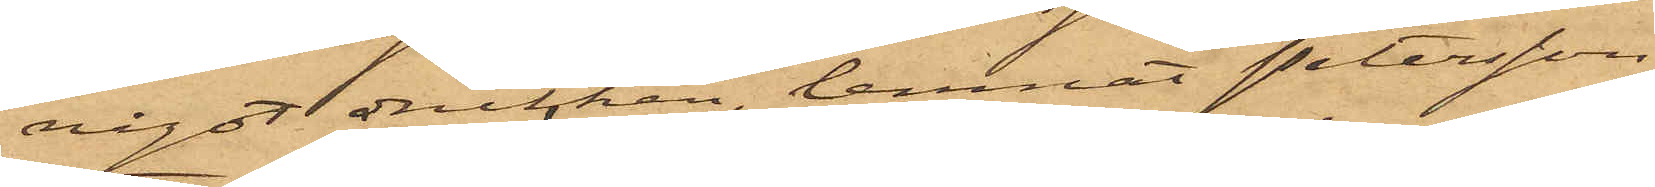något drucken, lemnat Petersson
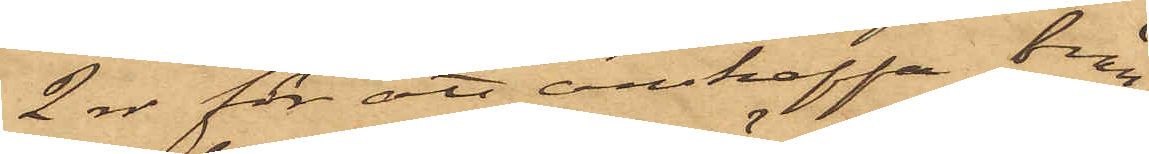2 rdr för att anskaffa brän¬
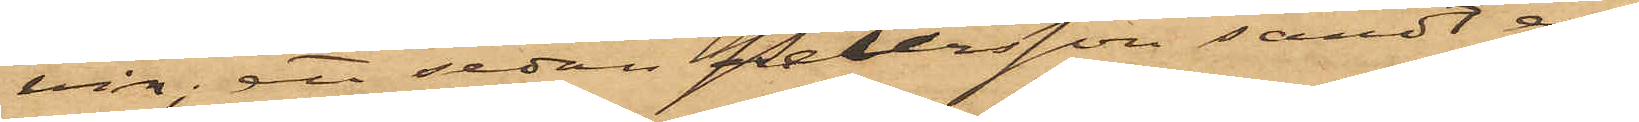vin; att sedan Petersson sändt en
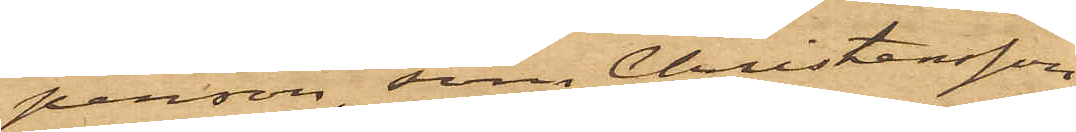person, som Christensson
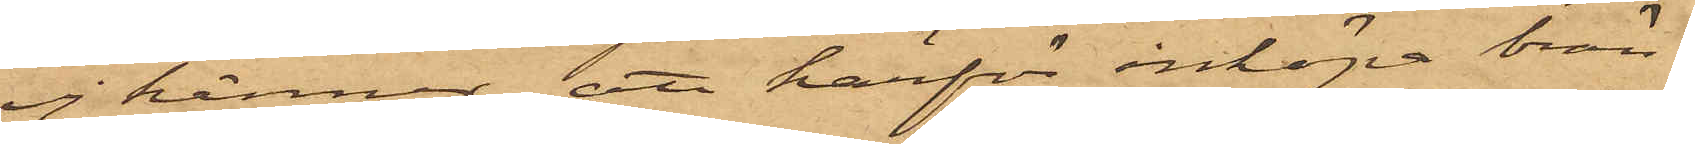ej känner, att härför inköpa brän¬
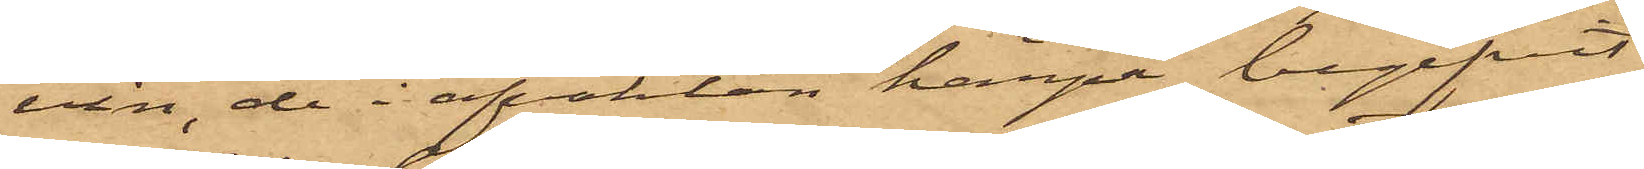vin, de i afvaktan härpå begifvit
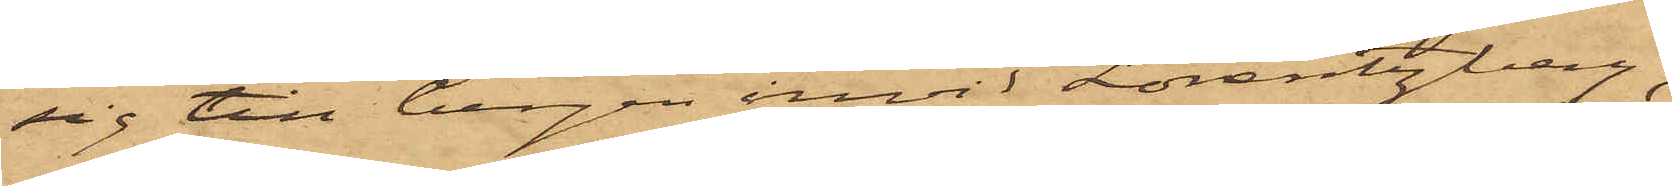sig till bergen invid Lorentzberg;
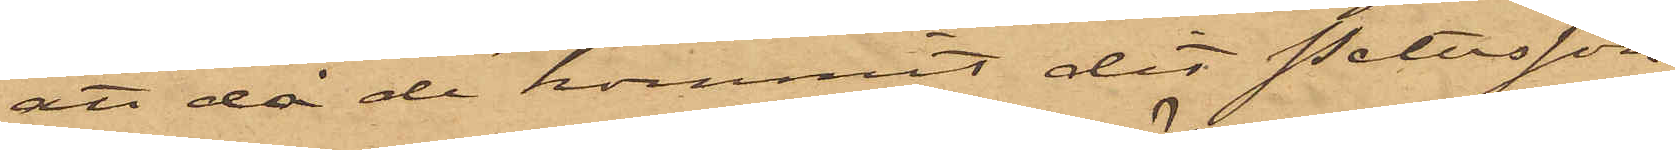att då de kommit dit Petersson
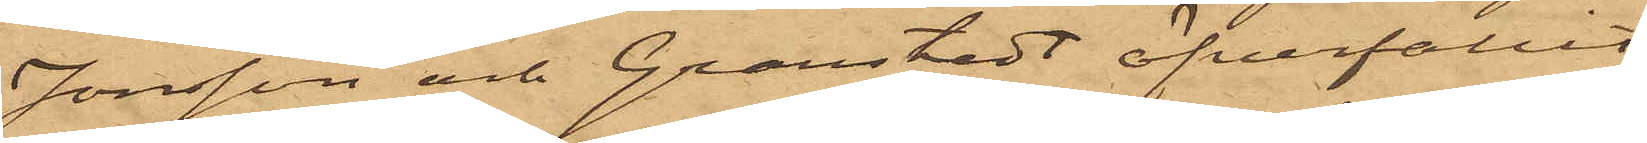Jonsson och Granstedt öfverfallit
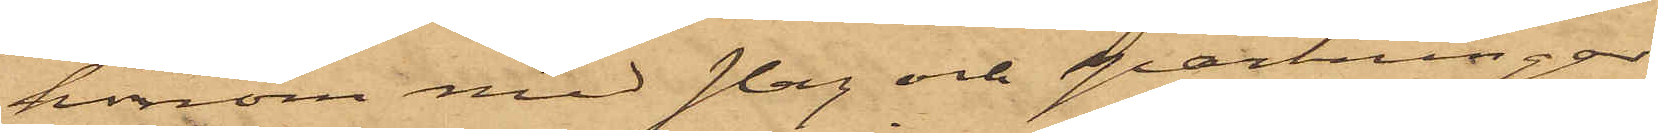honom med slag och sparkningar
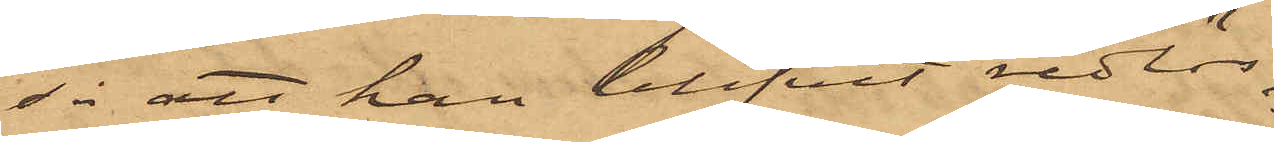så att han blifvit redlös
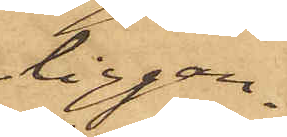liggan¬
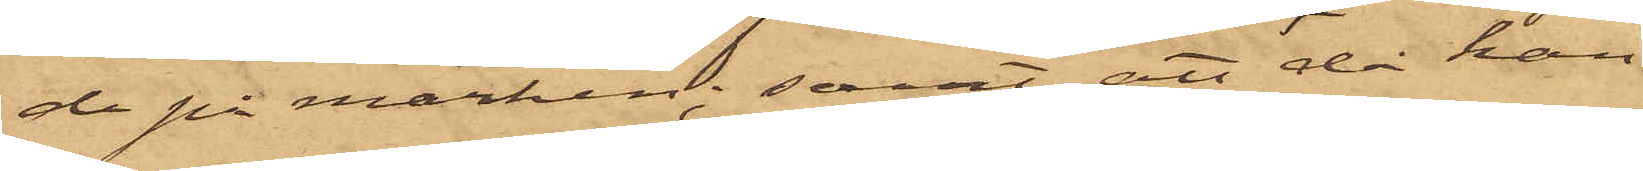de på marken; samt att då han
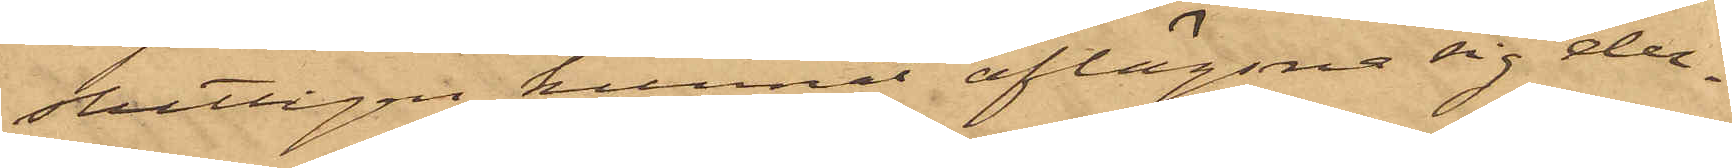slutligen kunnat aflägsna sig der¬
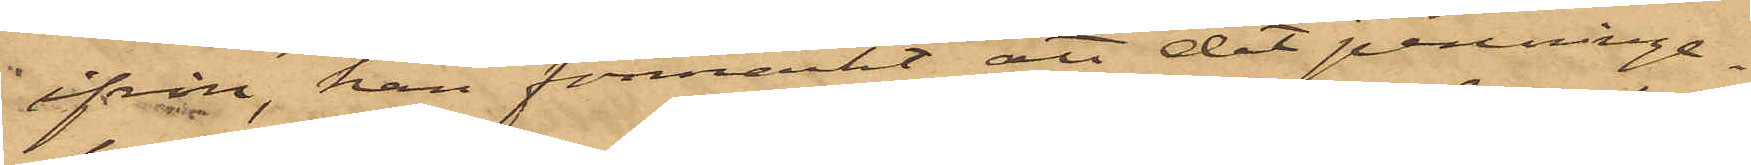ifrån, han förmärkt att det penninge¬
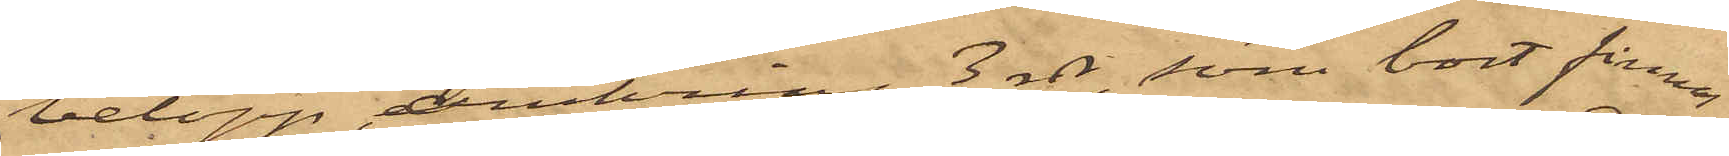belopp, omkring 3 rdr, som bort finnas
